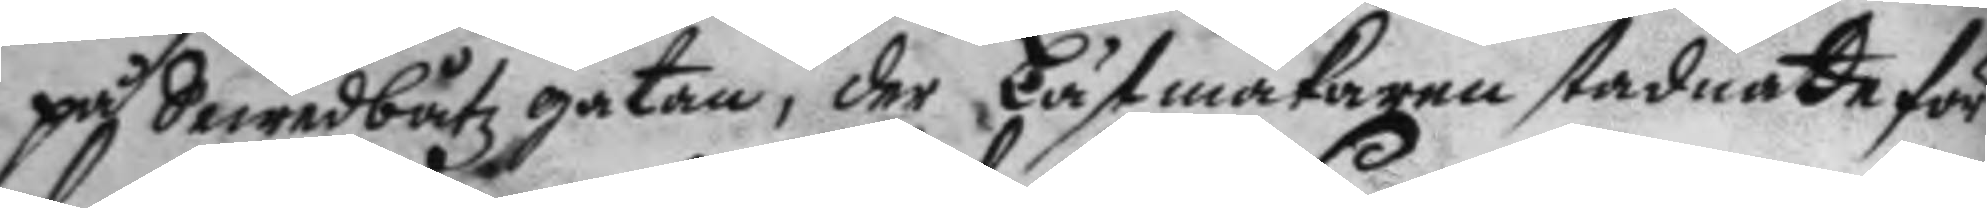på Sewedbåtz gatan, der Lästmakaren stadnade för
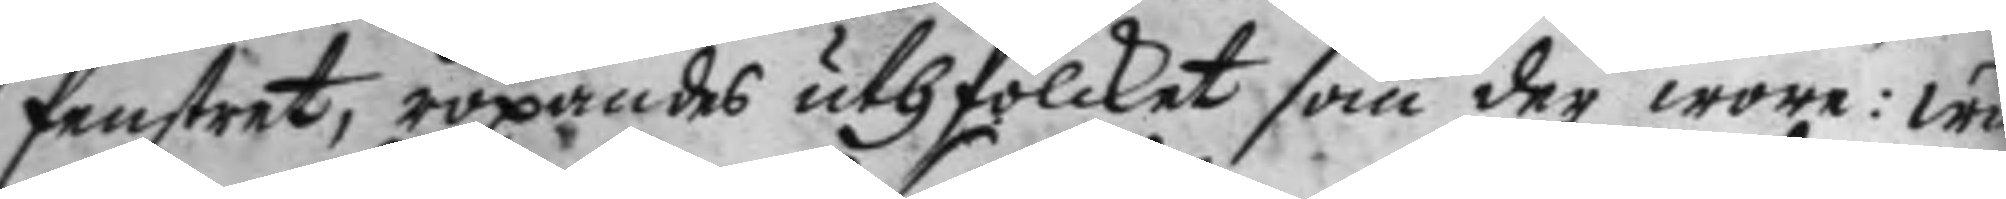fenstret, ropandes uth folcket som der wore: wä
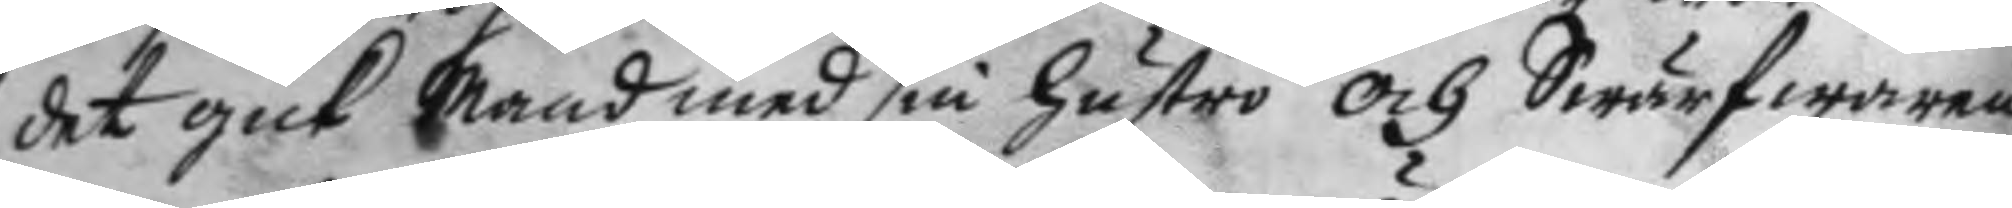det gick Mand med sin hustro och Swärfwaren
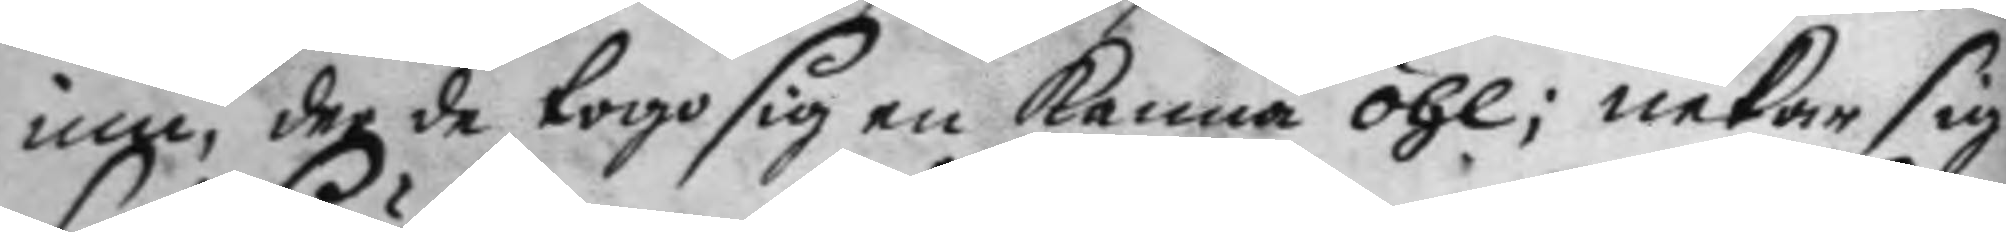inne, der de togo sig en kanna öhl; nekar sig
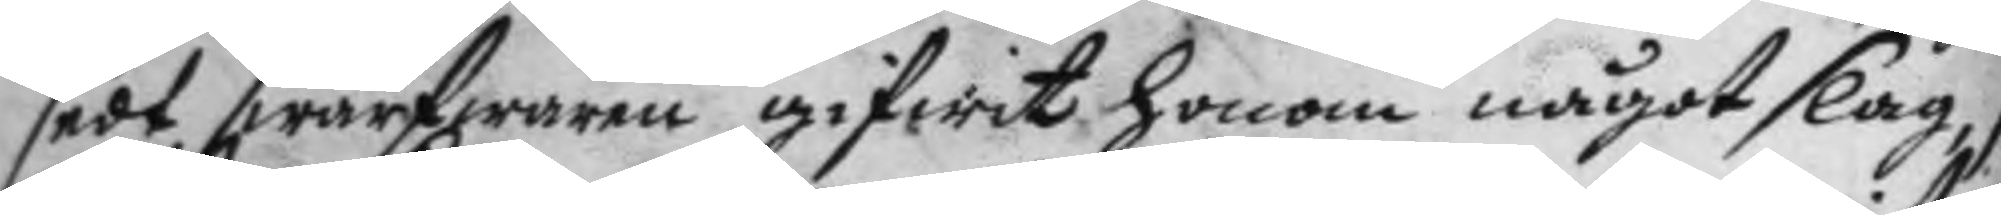sedt swärfwaren gifwit honom något slag, se
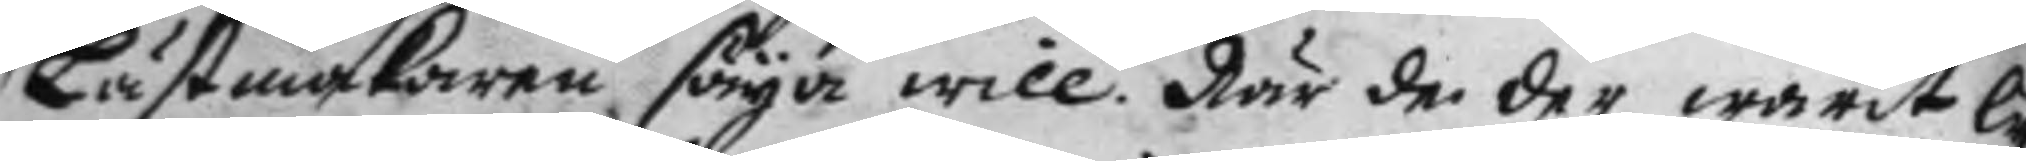Lästmakaren säyer will. När de der warit ly¬
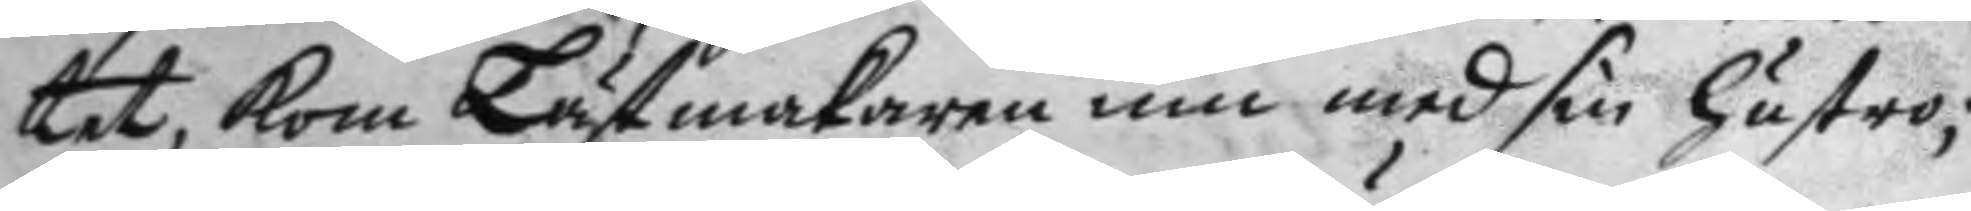tet, kom Lästmakaren inn med sin hustro;
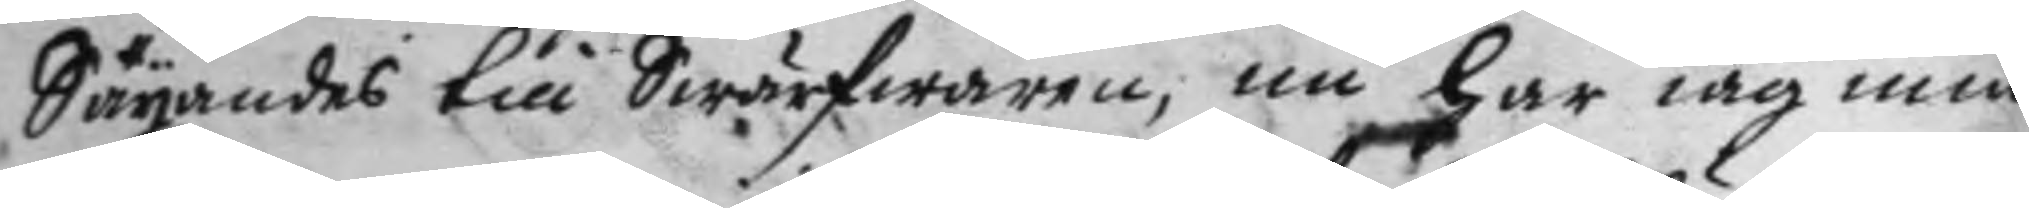Säyandes till Swärfwaren, nu har iag min
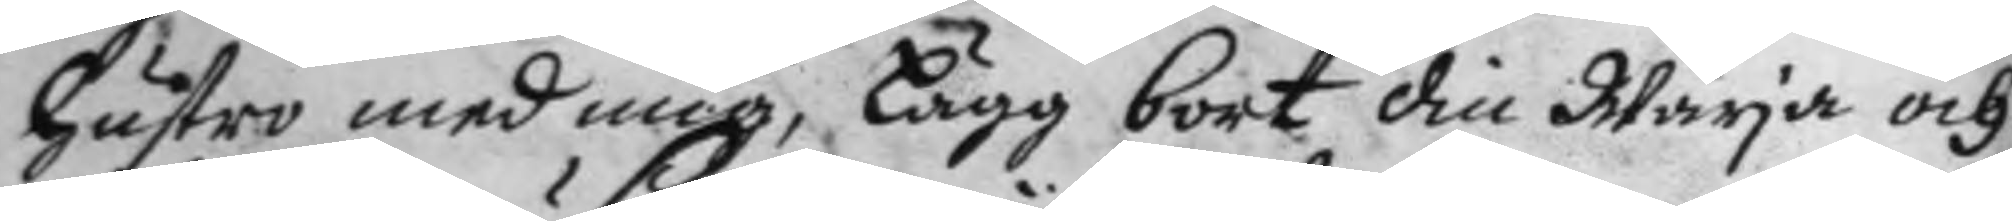hustro med mig, Lägg bort din Wärja och
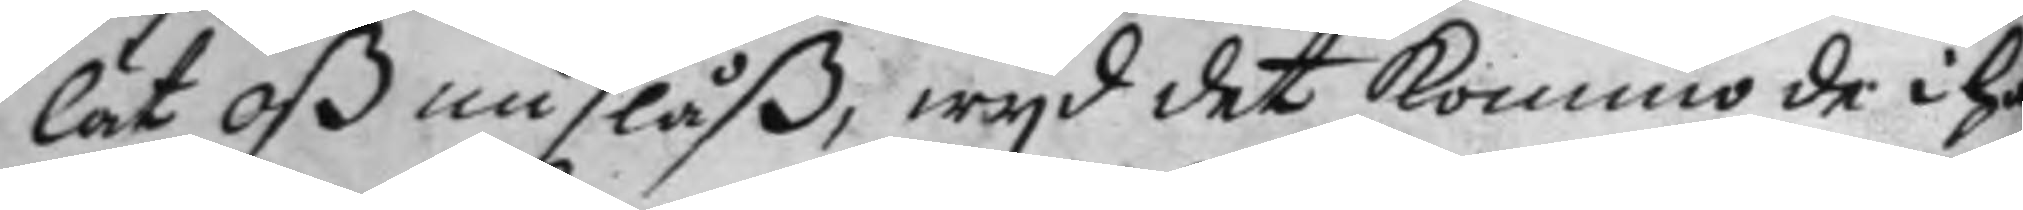låt oß nu slåß, wyd det kommo de i hå¬
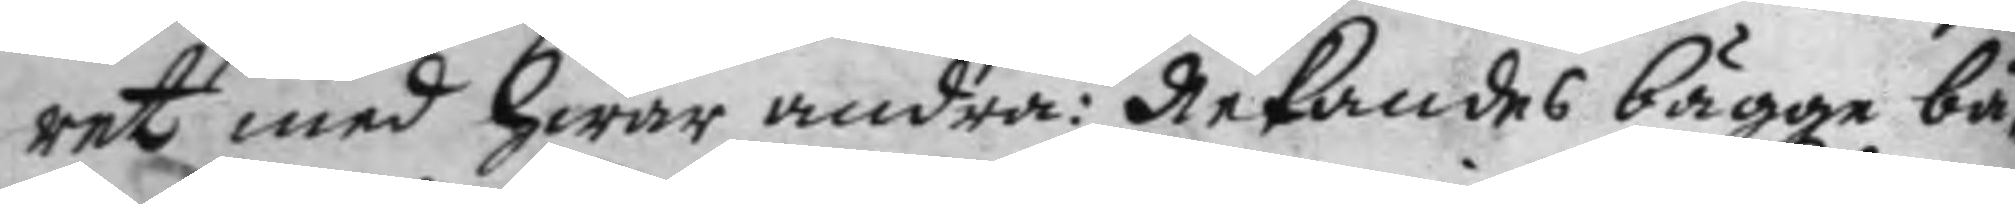ret med hwar andra: Nekandes bägge bå¬
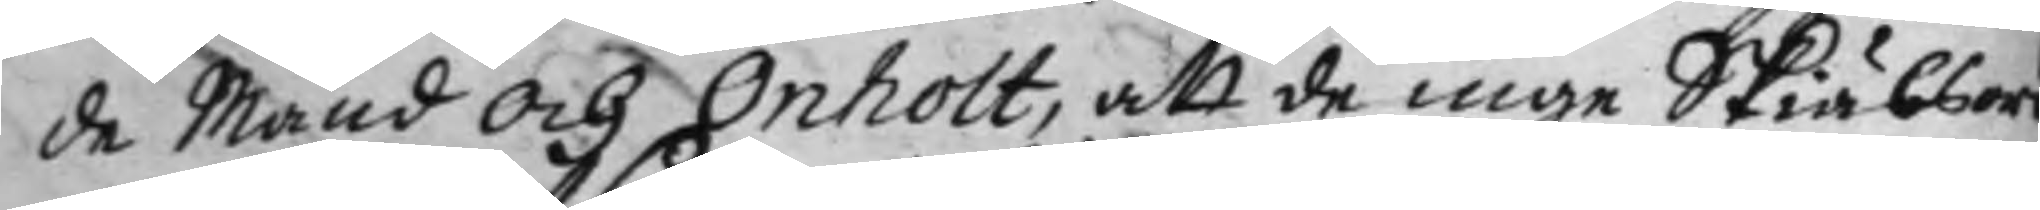de Mand och Anholt, att de inge Skiälsord 
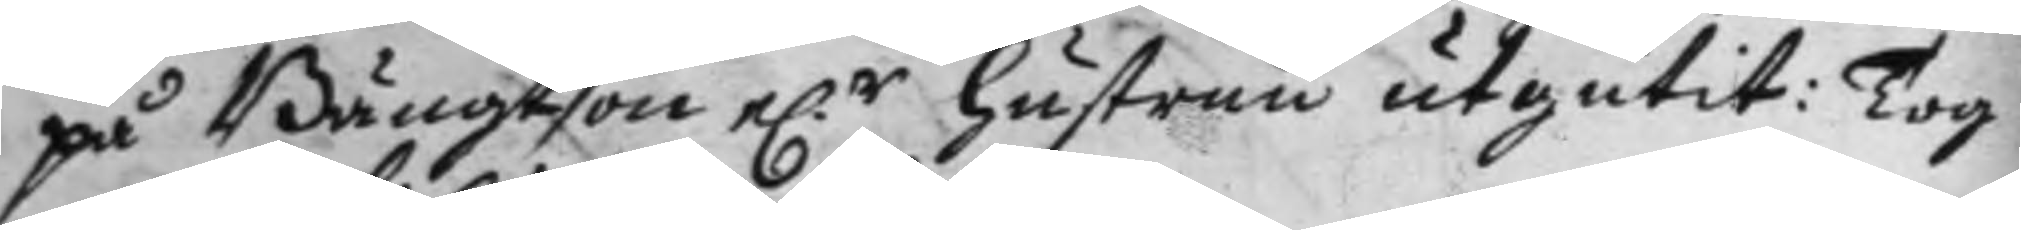på Bängtson e.r hustrun utgutit: Tog
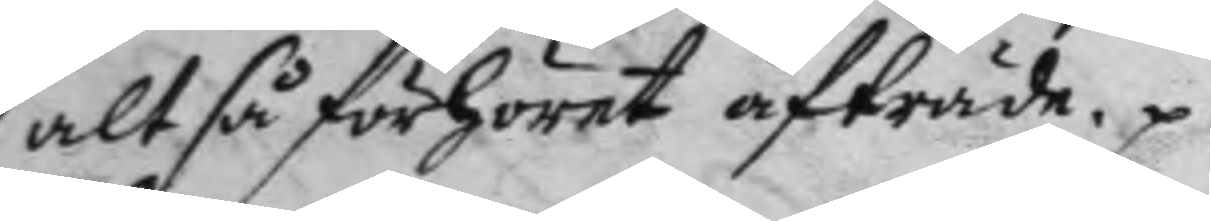altså förhöret afträde.
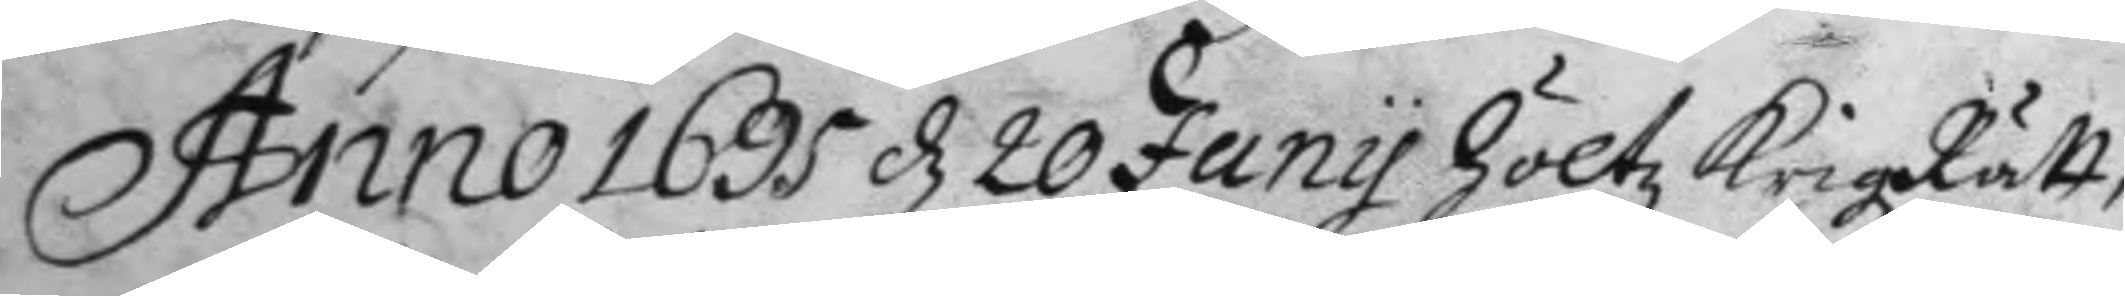Anno 1695 d 20 Juny höltz KrigzRätt
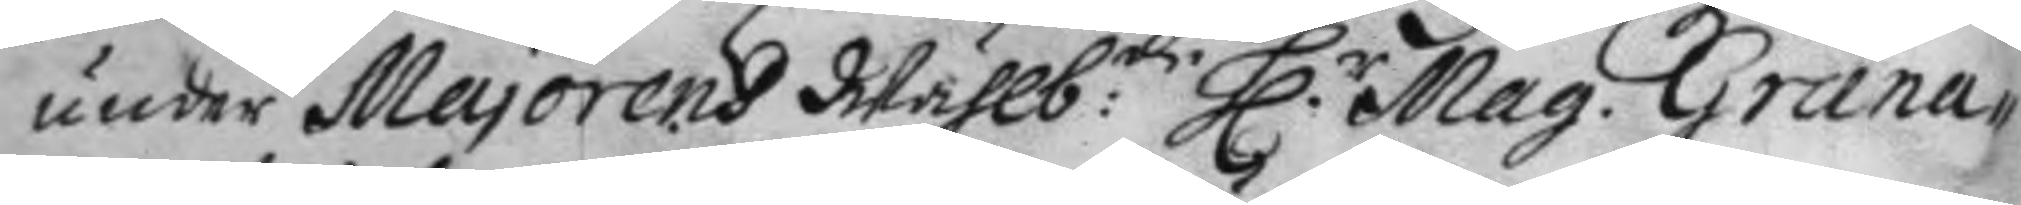under Majorens Wählb:de H.r Mag. Grana¬
